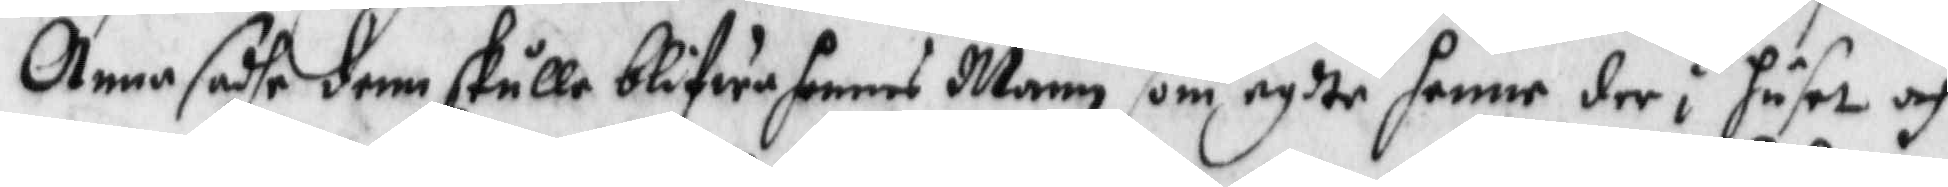Anna sade demm skulle blifwa hennes Mann som nydte henne der i huset och
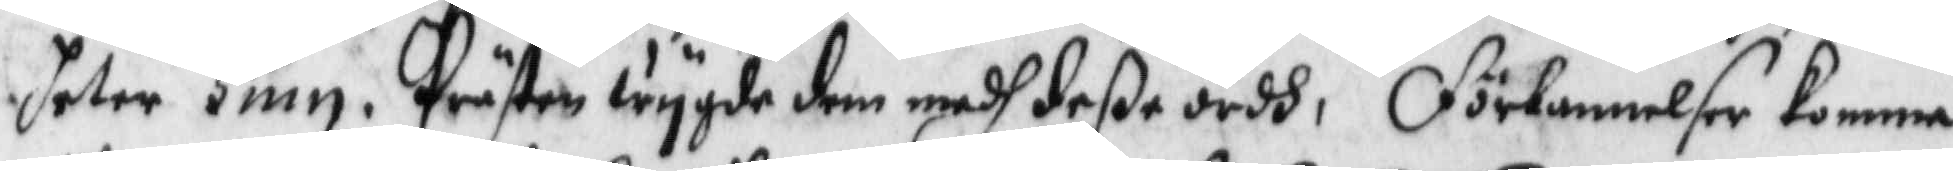heter Hinn, Prästen wygde dem medh deße ordh, förbannelser komma
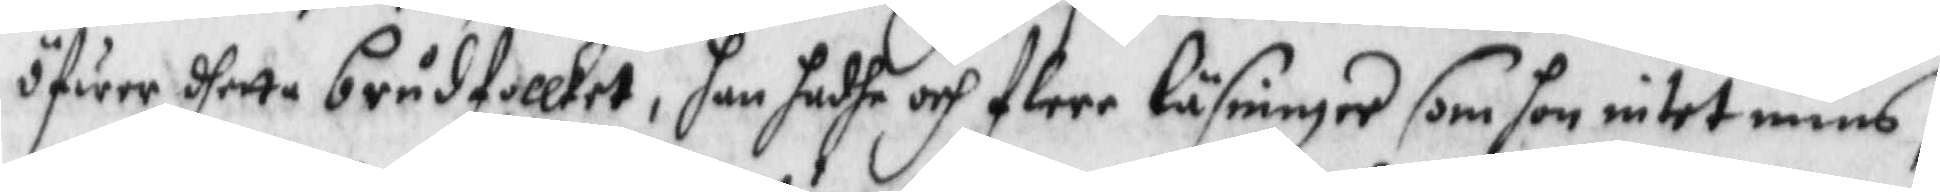öfwer dhetta brådfollket, han hadhe och flere läsninger som hon intet mins,
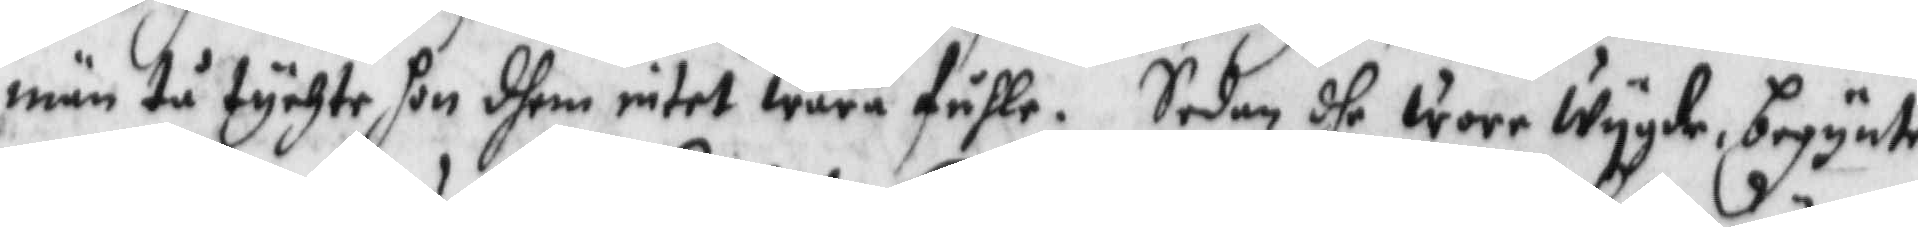män tå tychte hon dhem intet wara fulle. Sedan dhe voro Wygde begynte
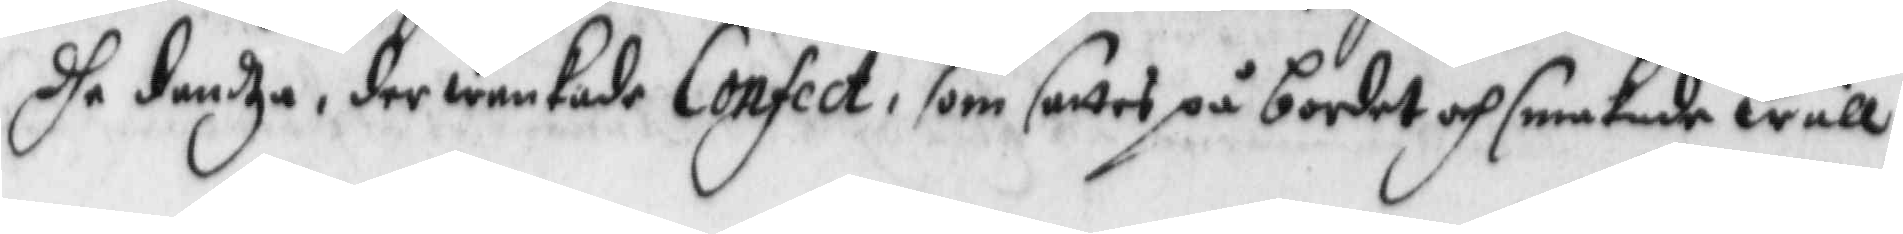dhe dandza, der wankade Confect, som sattes på bordet och smakade wäll
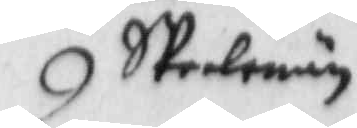Spelmän
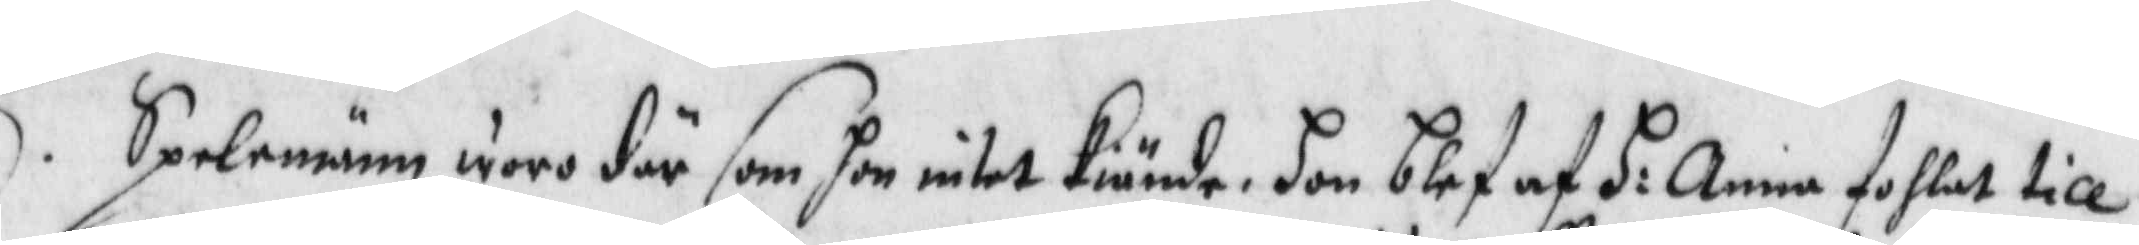Spelmänn woro där som hon intet kiände, hon blef af H: Anna fohlat till
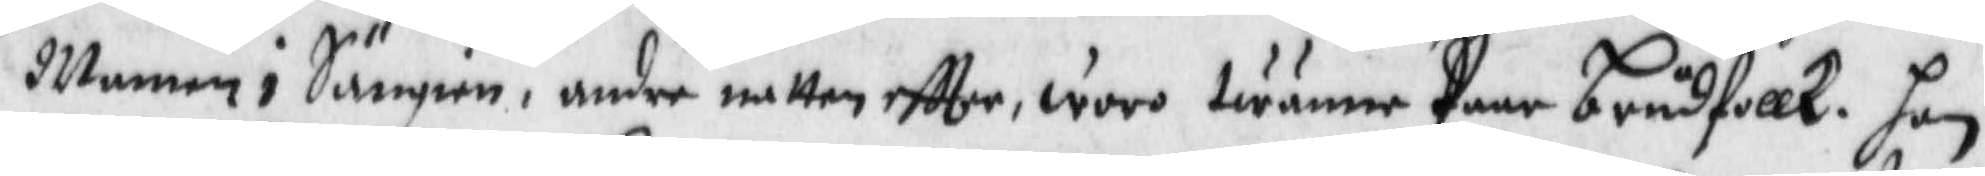Mannen i Sängen, under natten eftter, woro twänne Paar brudfollk. hon
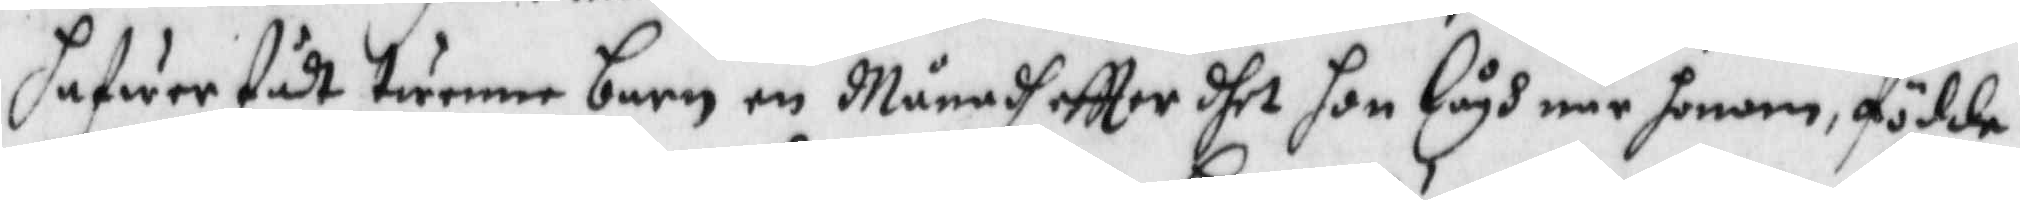hafwer födt twänne barn en Mänadh eftter dhet hon lågh när honom födde
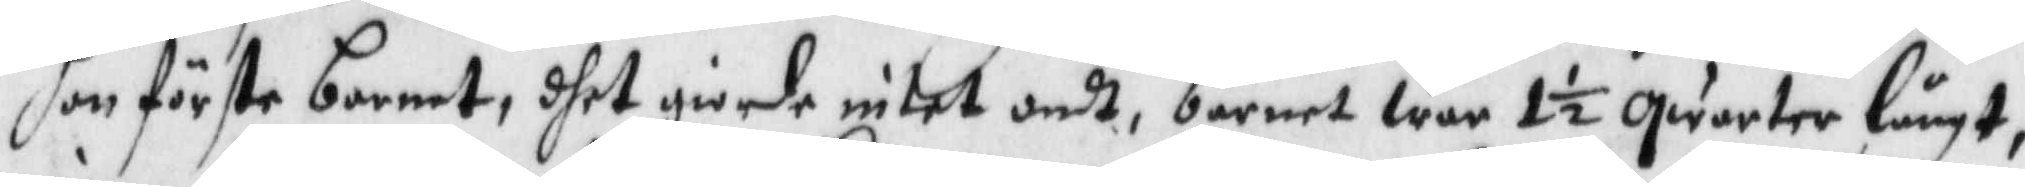hon förste barnet, dhet giorde intet ondt, barnet war 1½ qwarter långt,
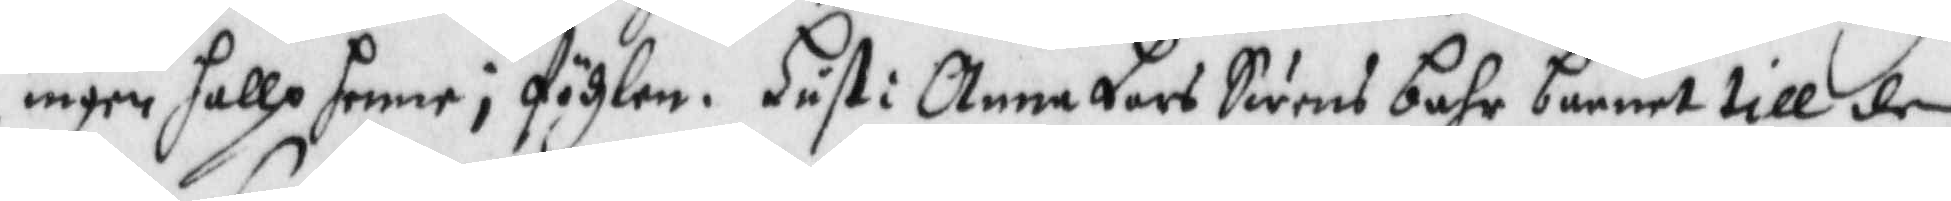ingen hallp henne i födzlen. Hust: Anna Lars Swens bahr barnet till den
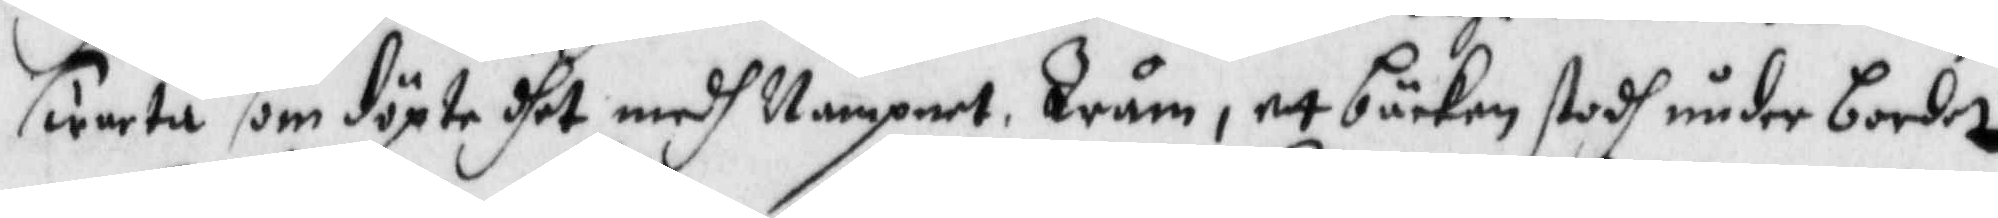swarte, som döpte dhet medh Nampnet Krum, ett bäcken stodh under bordet
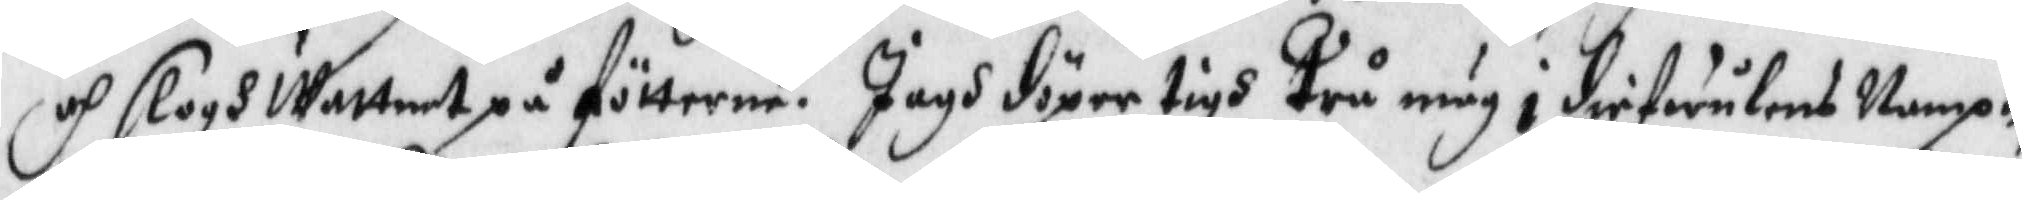och slogh Wattnet på fötterne. Jagh döper tigh Trå mug i diefwulens Nampn,
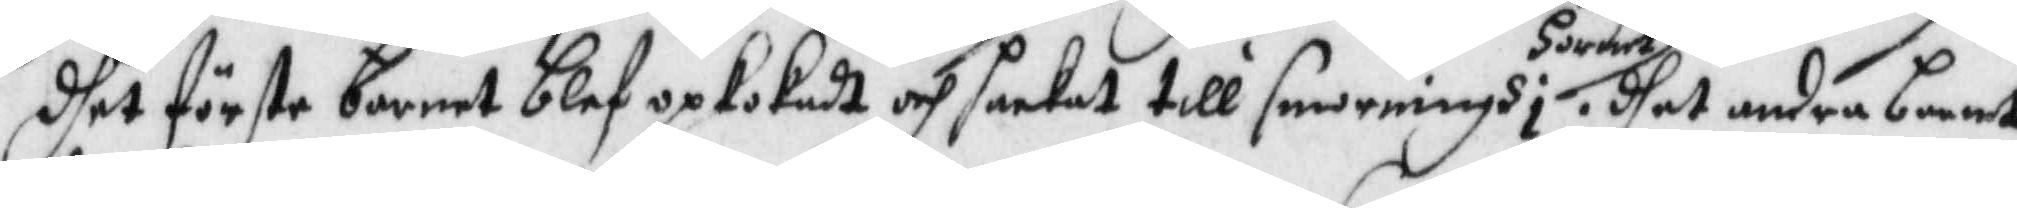dhet förste barnet blef opkokadt och hackat till smorningh i hornet. dhet andra barnet
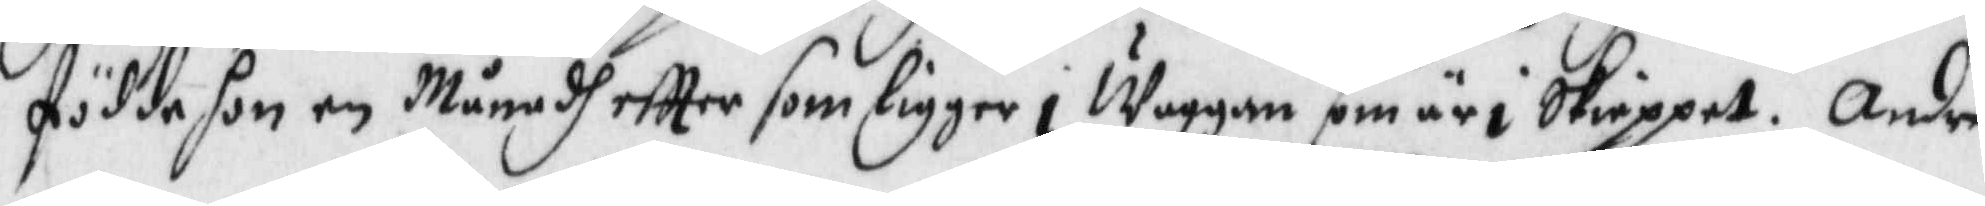födde hon en Månadh eftter som ligger i Waggan som är i Skieppet. Andra
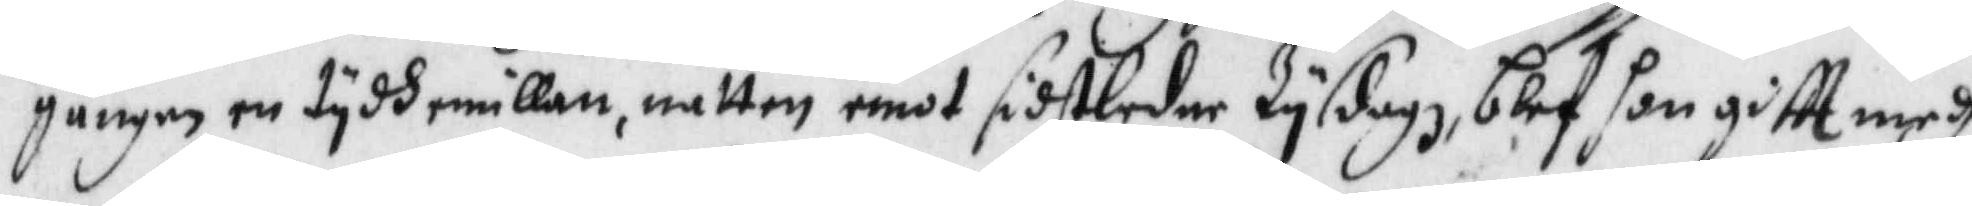gången en tydh emillan, natten emot sidtledne Tysdagh blef hon giftt medh
